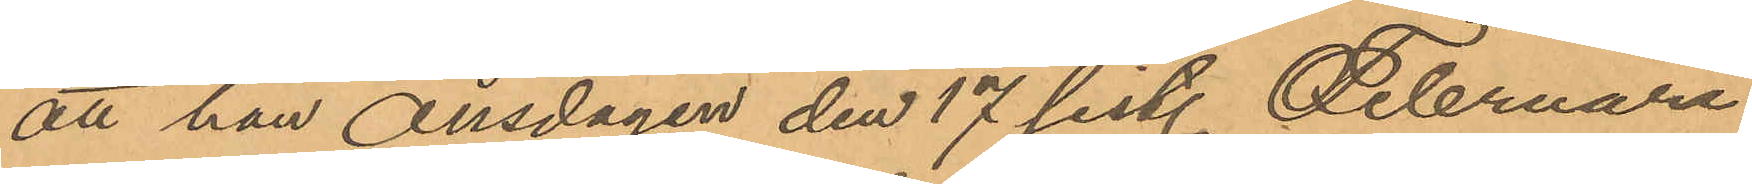att han onsdagen den 17 sist. Februari
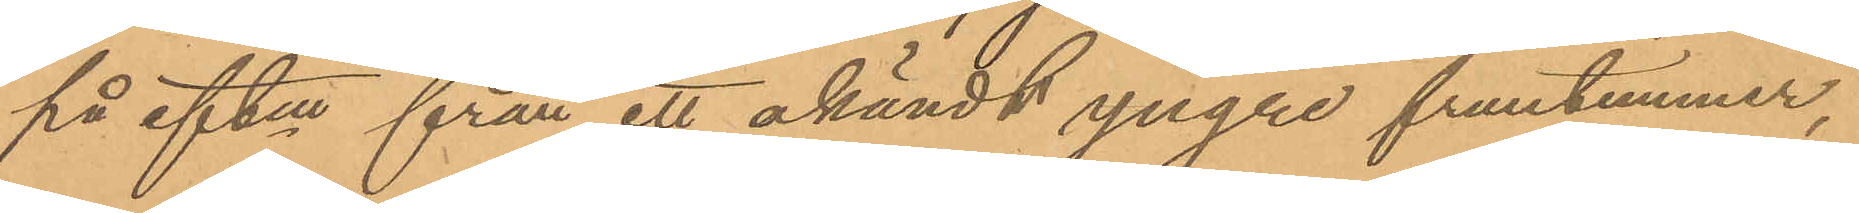på eftm från ett okändt yngre fruntimmer,
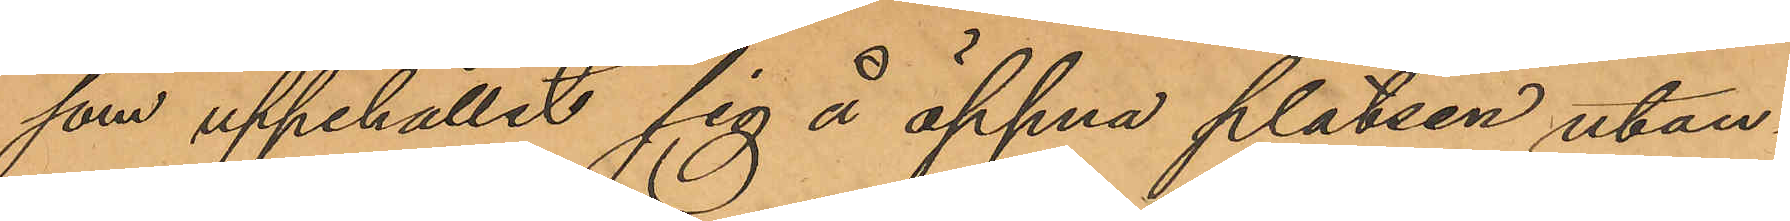som uppehållit sig å öppna platsen utan¬
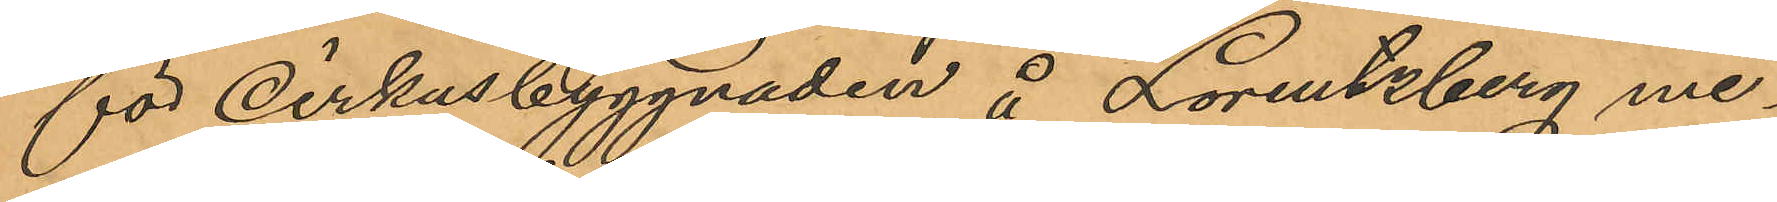för Cirkusbyggnaden å Lorentzberg me¬
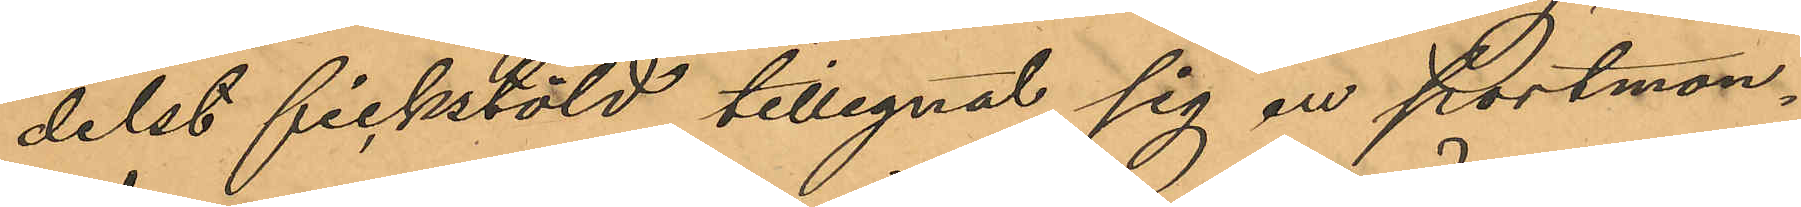delst fickstöld tillegnat sig en portmon¬
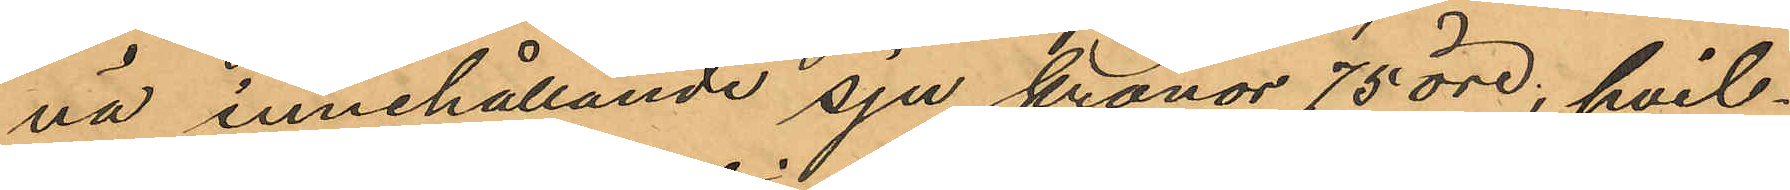nä innehållande sju kronor 75 öre; hvil¬
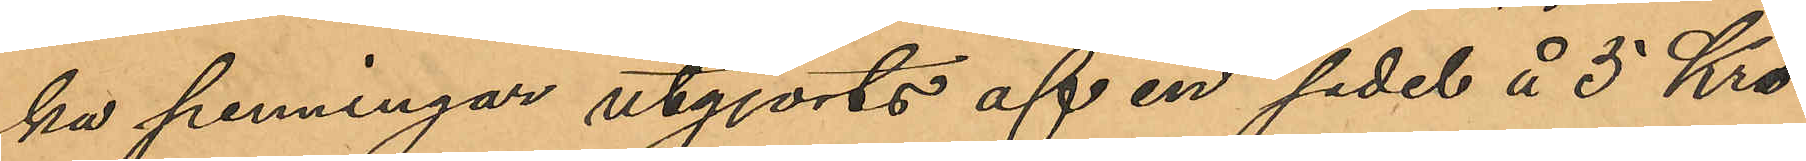ka penningar utgjorts af en sedel å 5 Kro¬
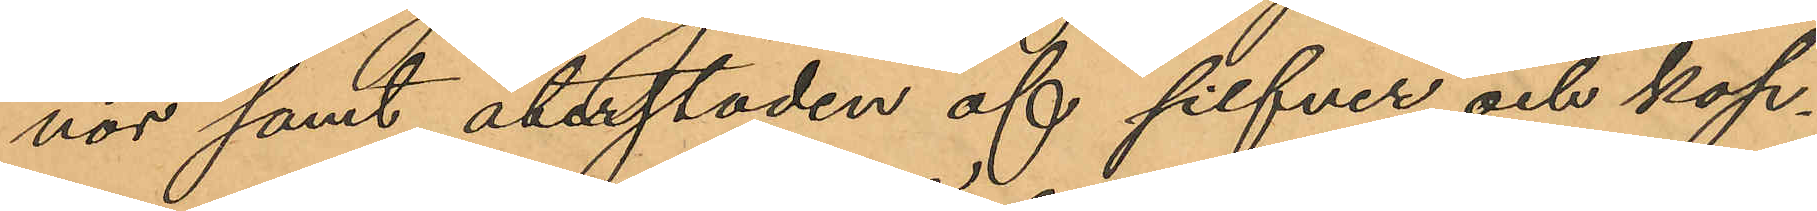nor samt återstoden af silfver och kop¬
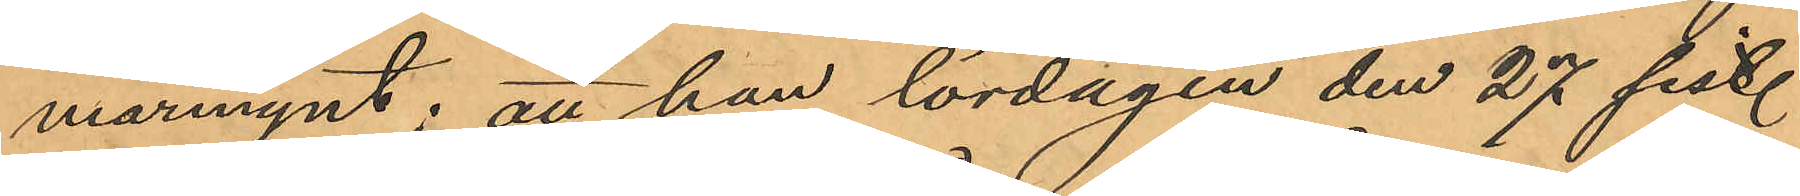marmynt; att han lördagen den 27 sist.
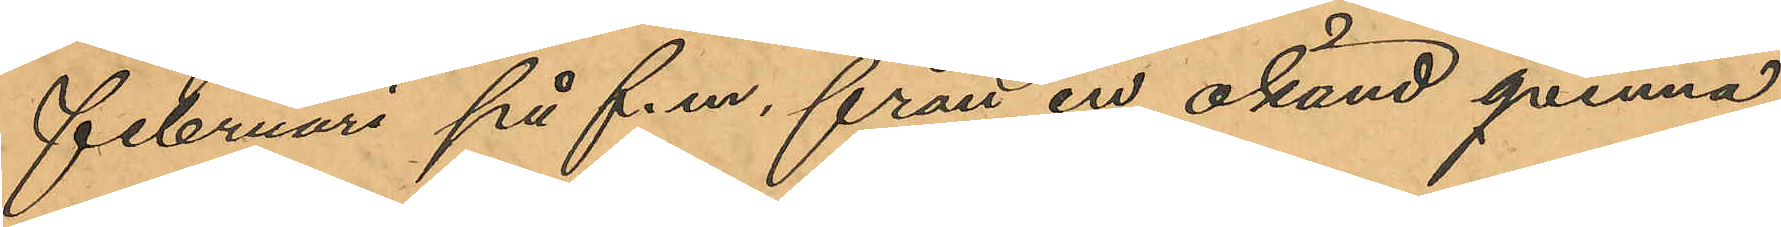Februari på f.m. från en okänd qvinna
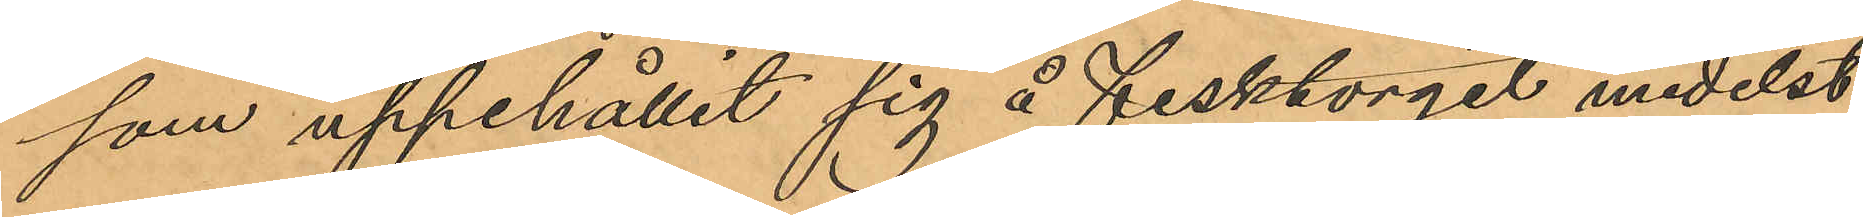som uppehållit sig å Fisktorget medelst
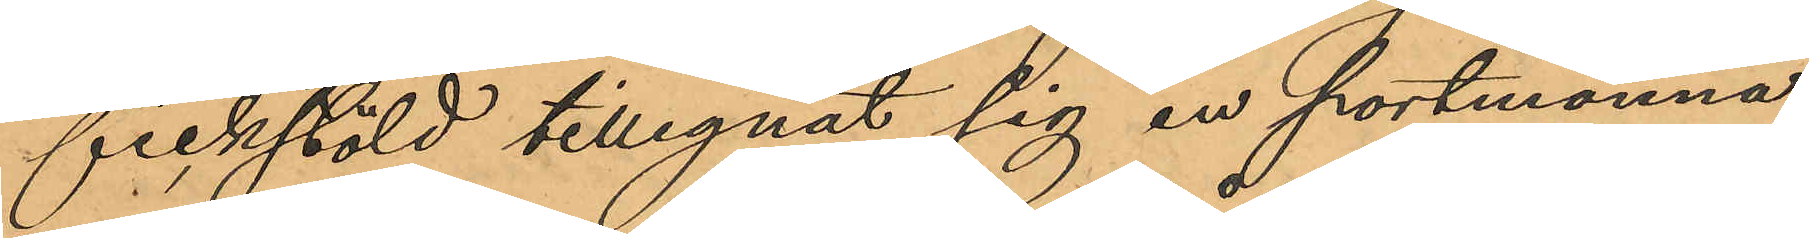fickstöld tillegnat sig en portmonnä,
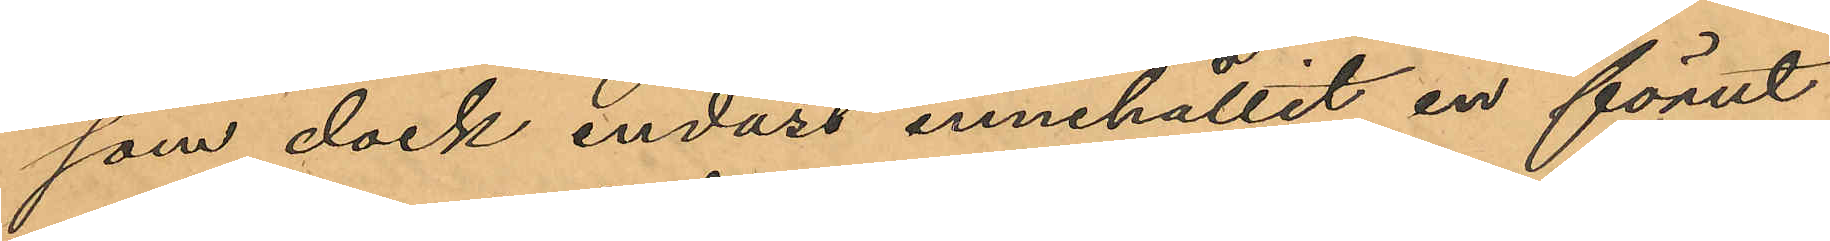som dock endast innehållit en förut
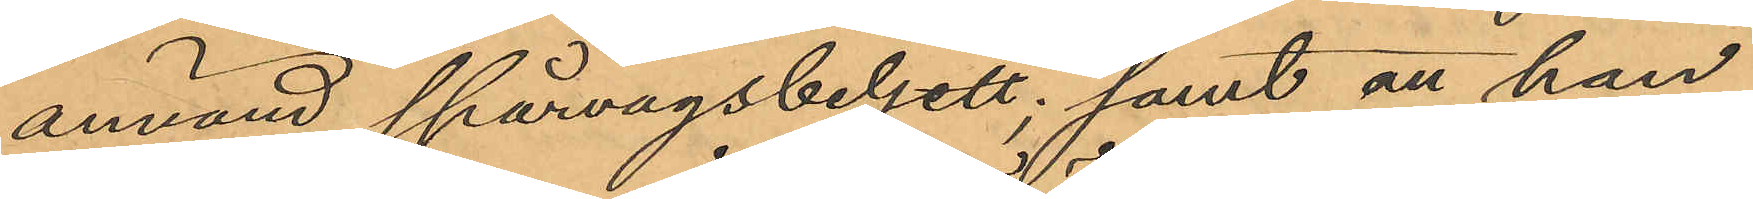använd spårvägsbeljett; samt att han
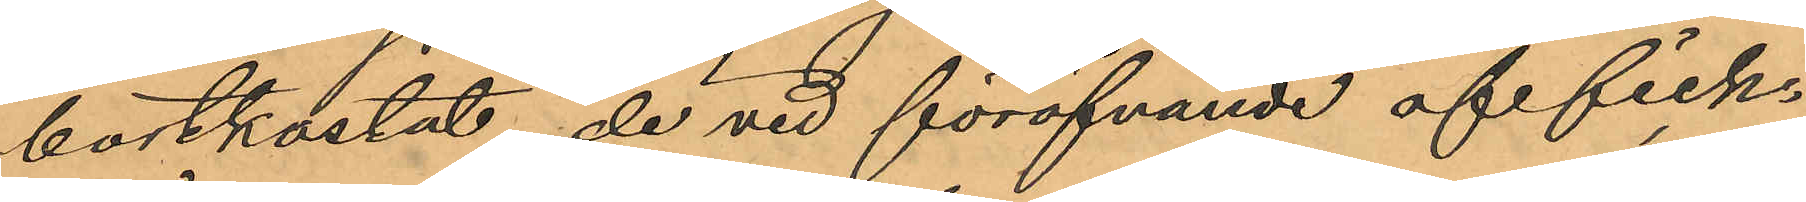bortkastat, de vid föröfvande af fick¬
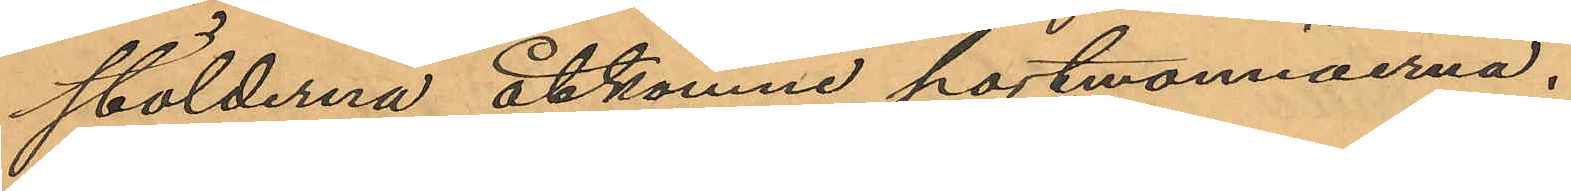stölderna åtkomne portmonnäerna.
